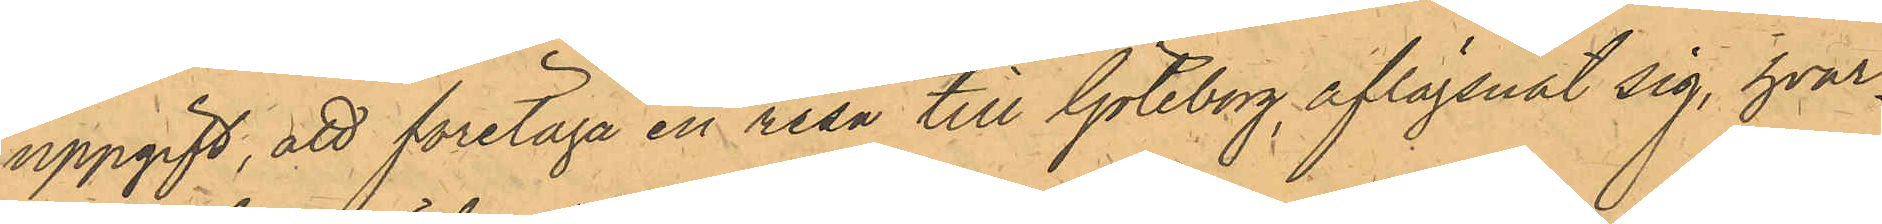uppgift, att företaga en resa till Göteborg, aflägsnat sig, hvar¬
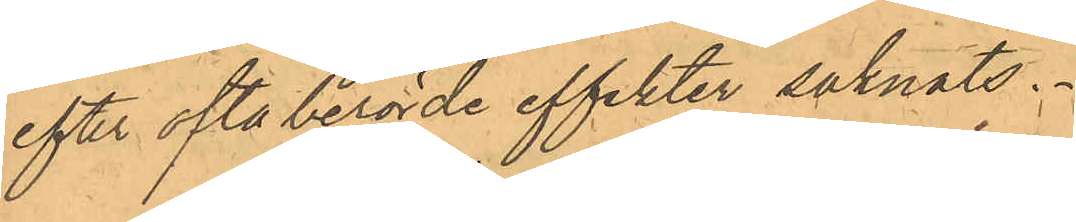efter ofta berörde effekter saknats.
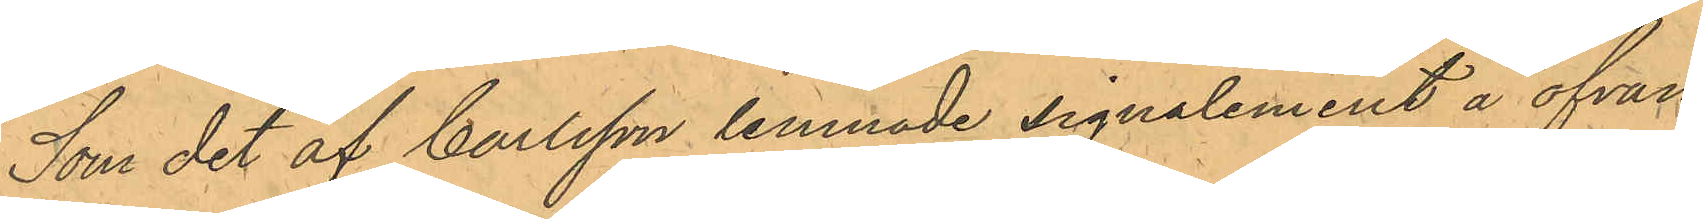Som det af Carlsson lemnade signalement å ofvan¬
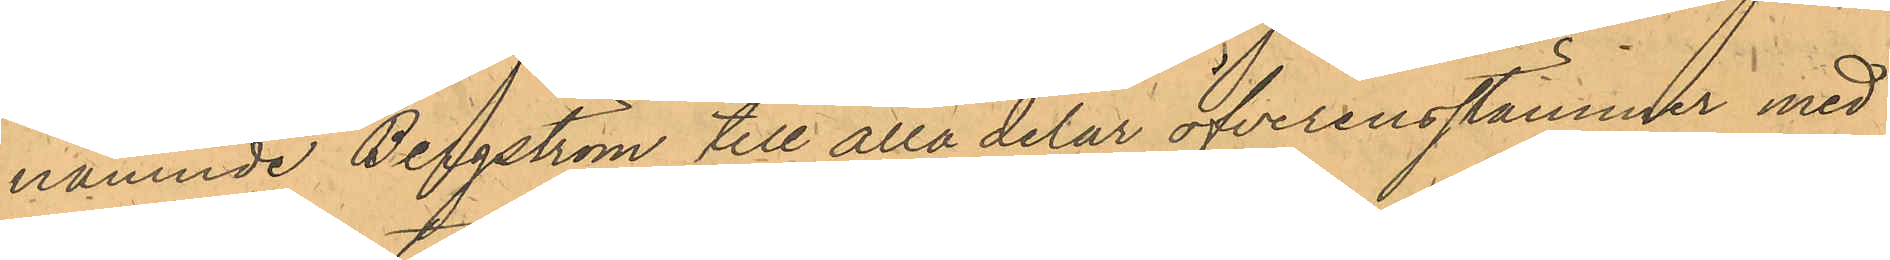nämnde Bergström till alla delar öfverensstämmer med
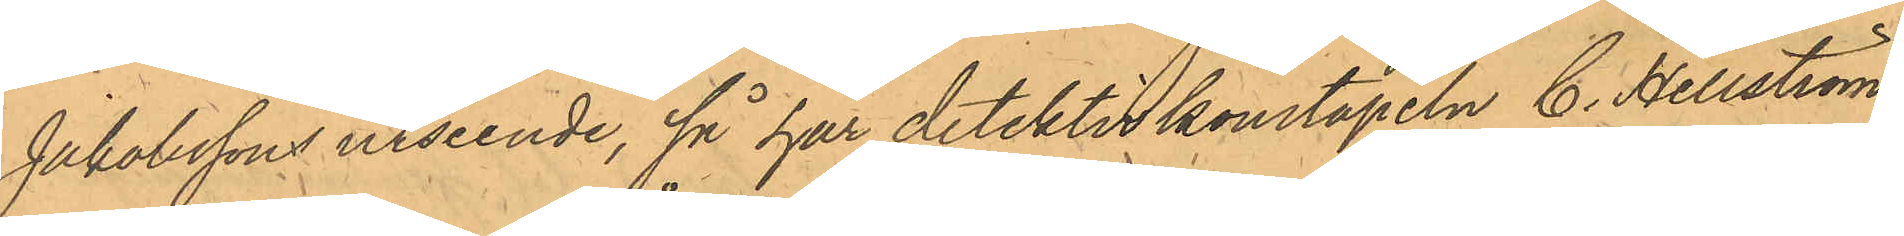Jakobssons utseende, så har detektivkonstapeln C. Hellström
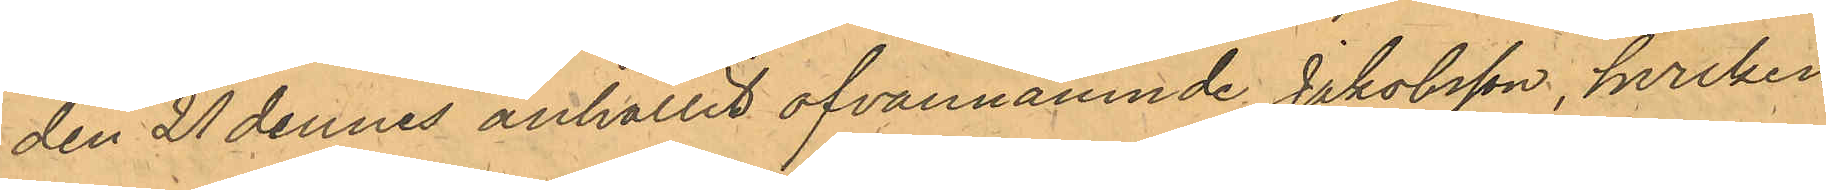den 21 dennes anhållit ofvannämnde Jakobsson, hvilken
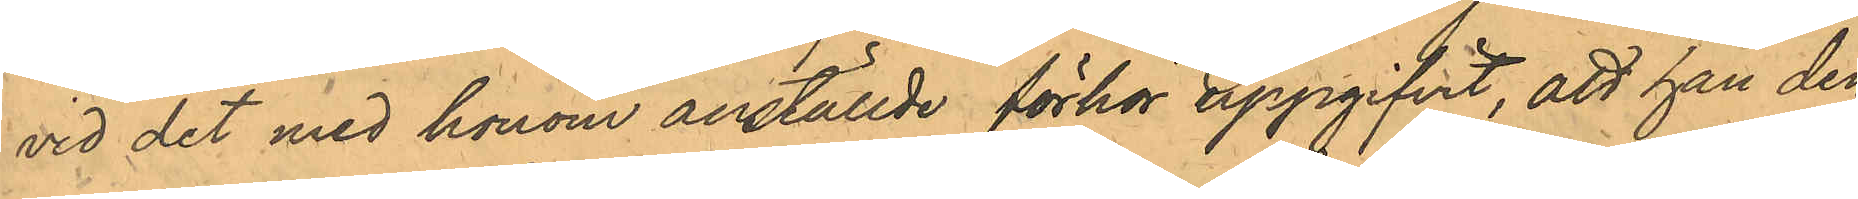vid det med honom anställde förhör uppgifvit, att han den
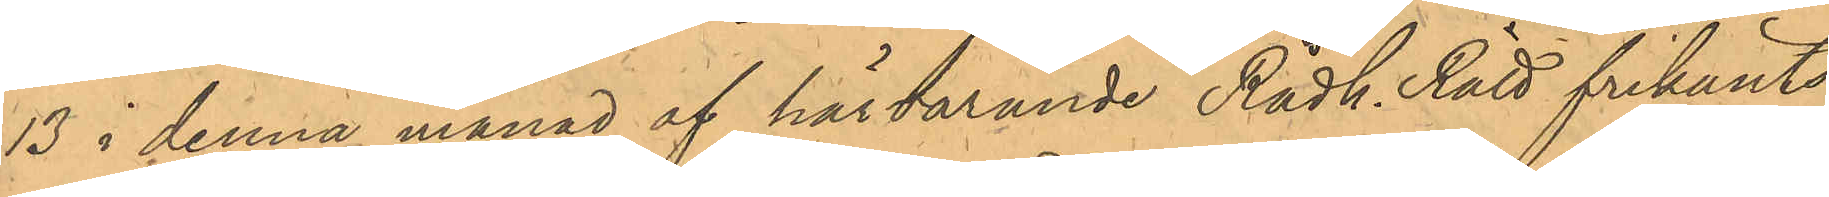13 i denna månad af härvarande Rådh. Rätt frikänts
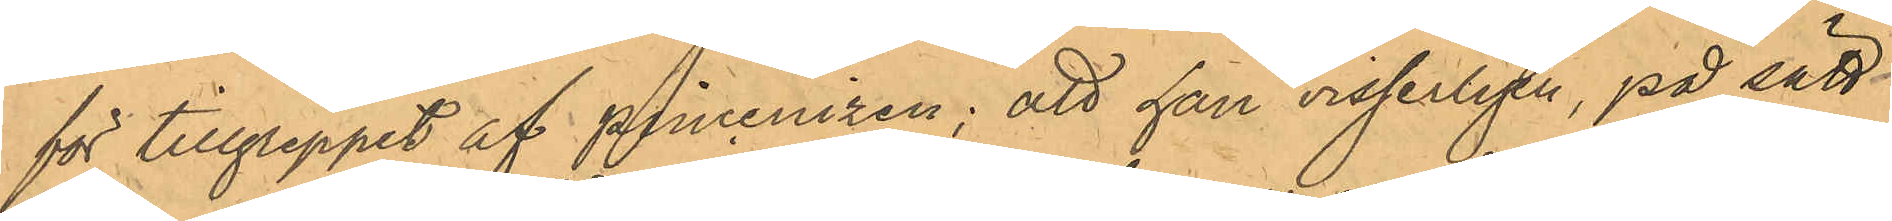för tillgreppet af pincenizen; att han visserligen, på sätt
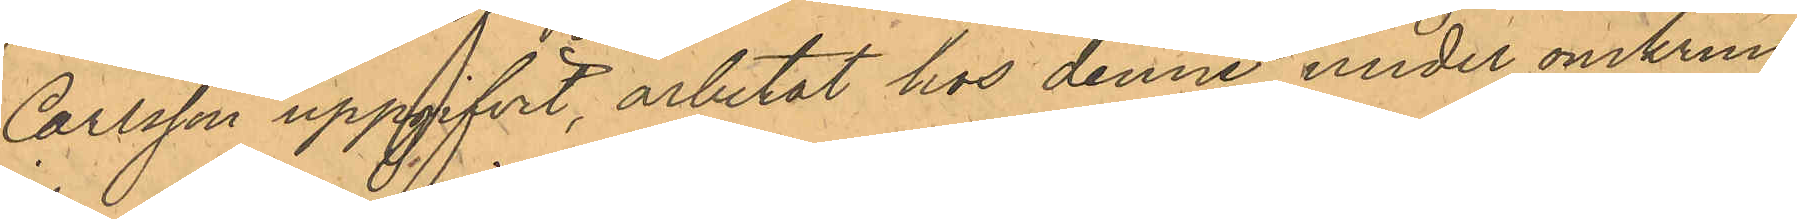Carlsson uppgifvit, arbetat hos denne under omkring
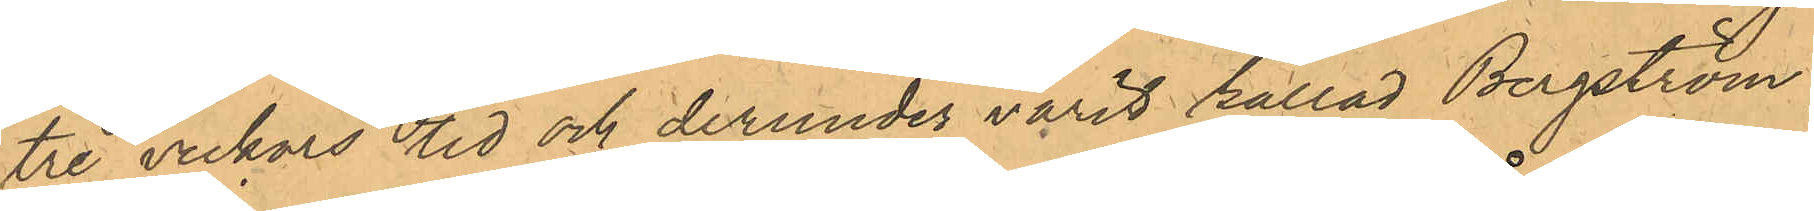tre veckors tid och derunder varit kallad Bergström;
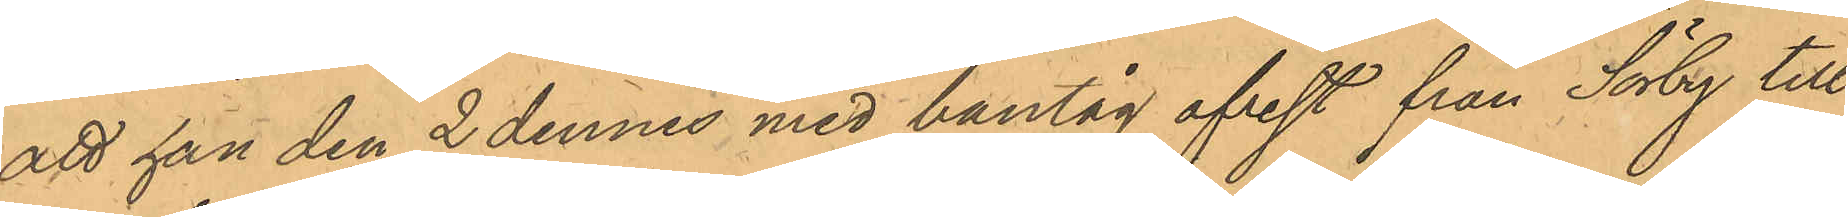att han den 2 dennes med bantåg afrest från Sörby till
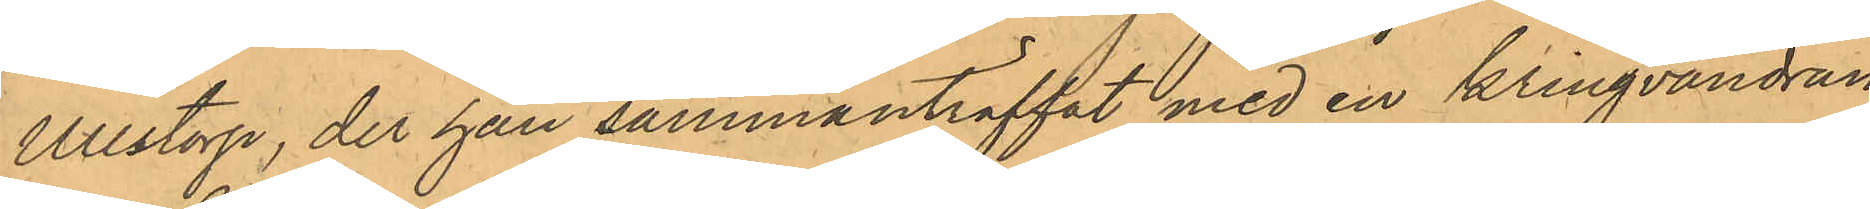Ullstorp, der han sammanträffat med en kringvandran¬
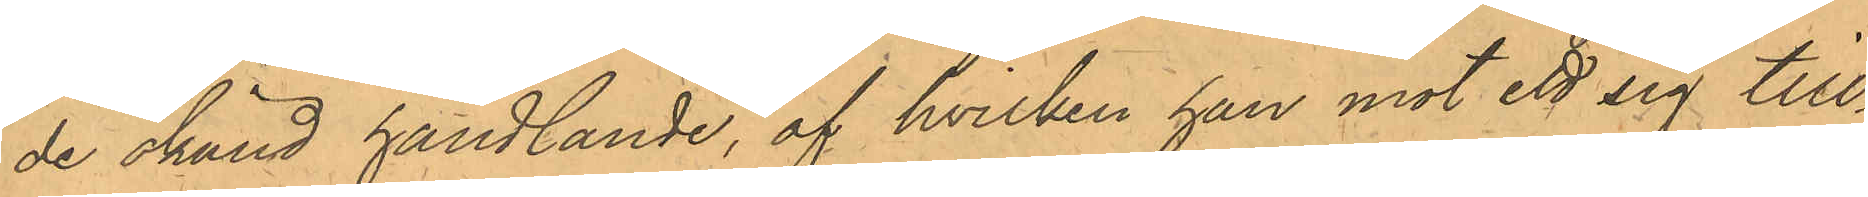de okänd handlande, af hvilken han mot ett sig till¬
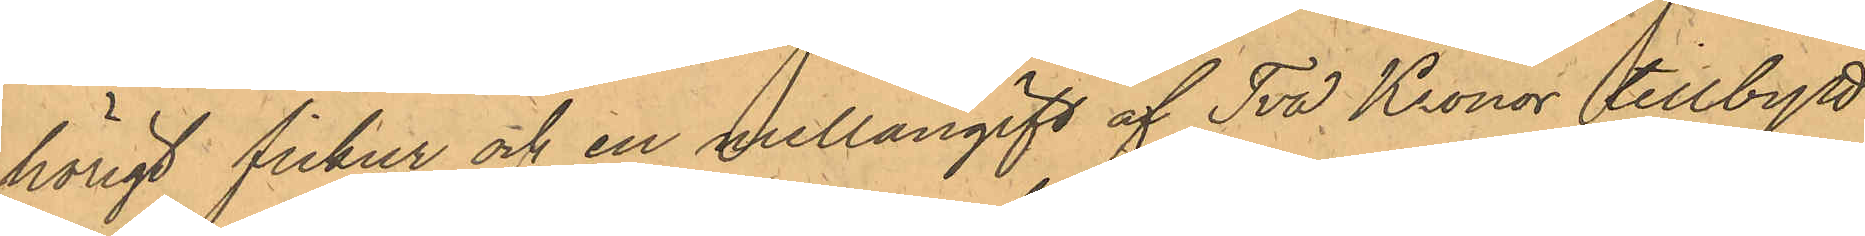hörigt fickur och en mellangift af Två Kronor tillbytt
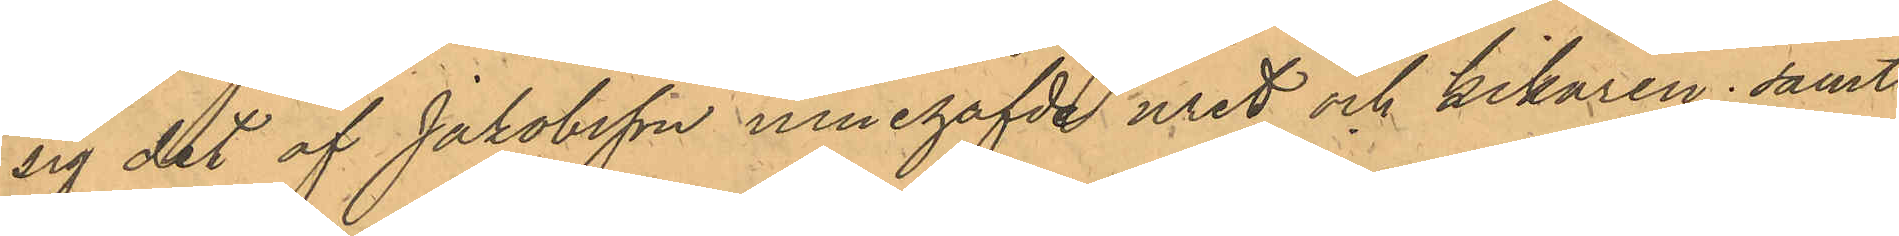sig det af Jakobsson innehafda uret och kikaren; samt
